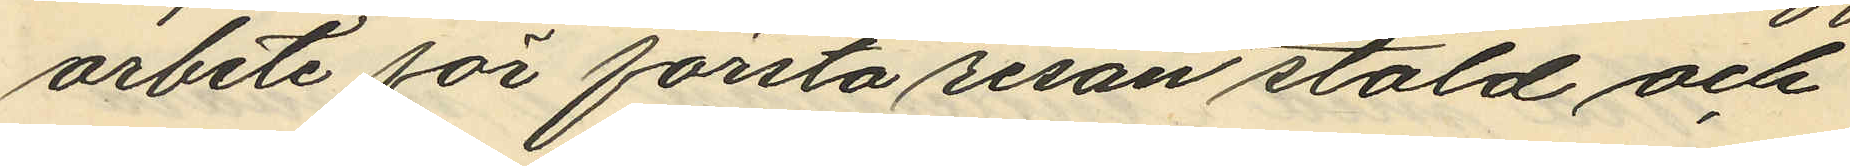arbete för första resan stöld och
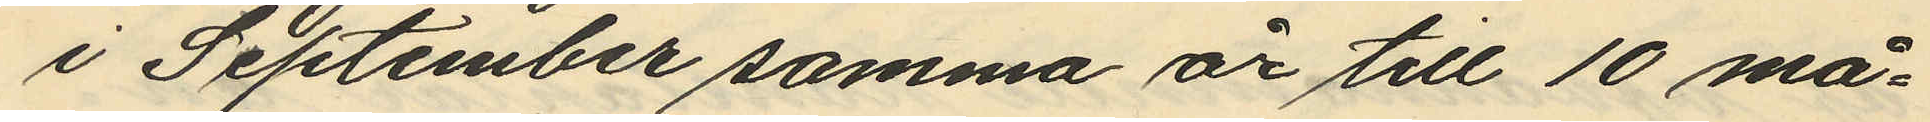i September samma år till 10 må¬
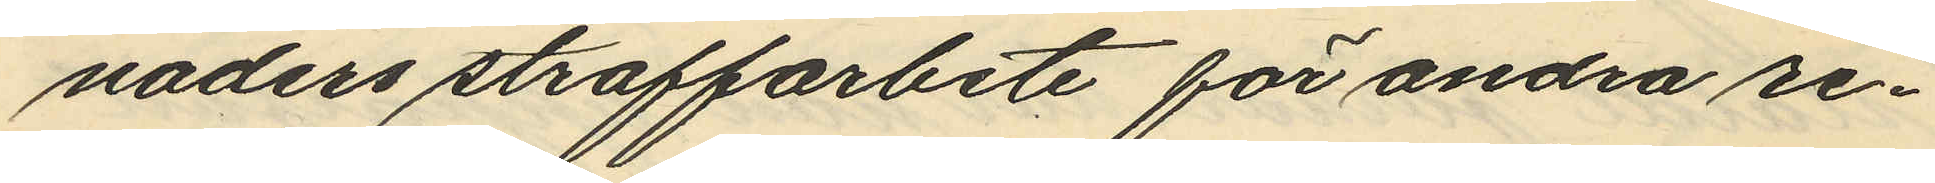naders straffarbete för andra re¬
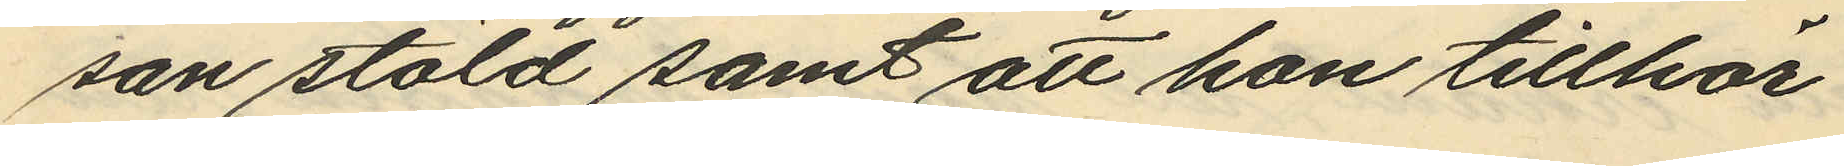san stöld samt att hon tillhör
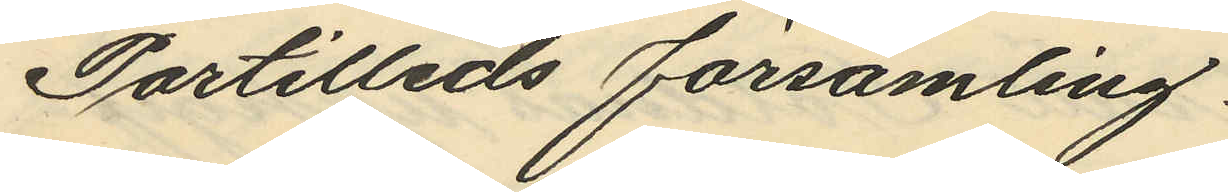Partilleds församling.
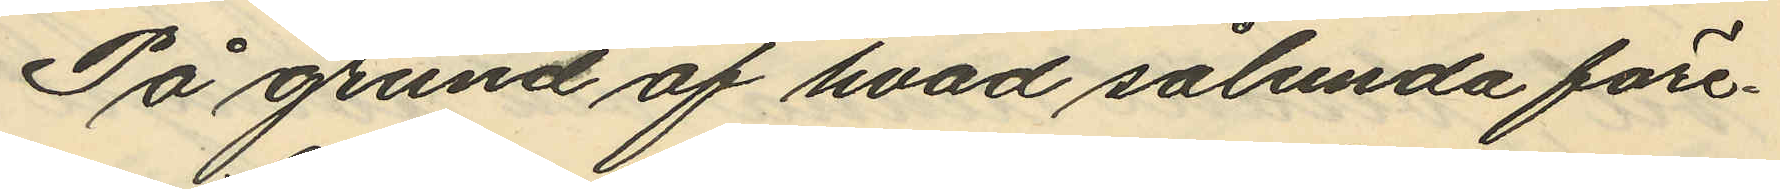På grund af hvad sålunda före¬
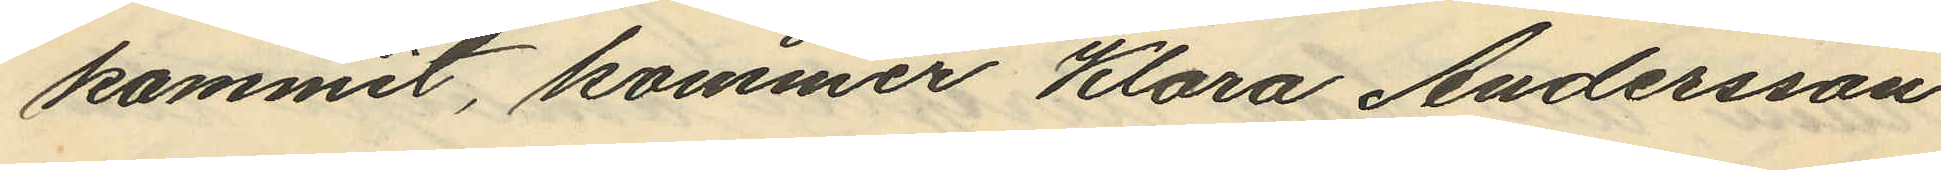kommit, kommer Klara Andersson
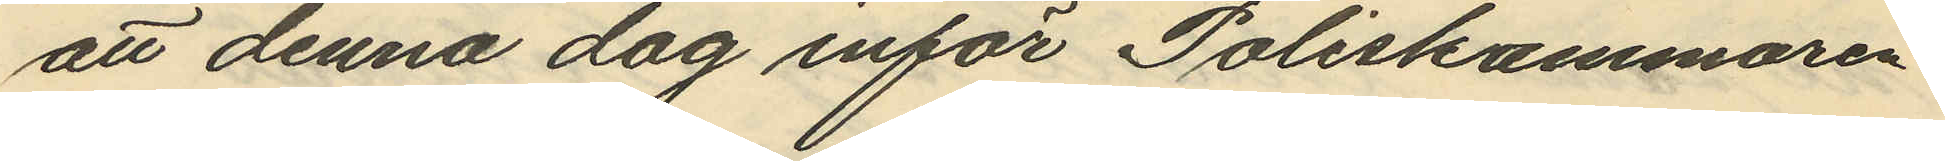att denna dag inför Poliskammaren
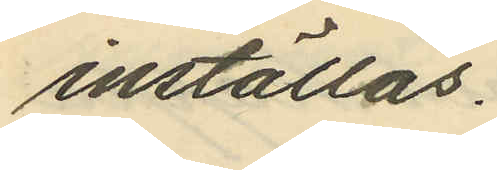inställas.
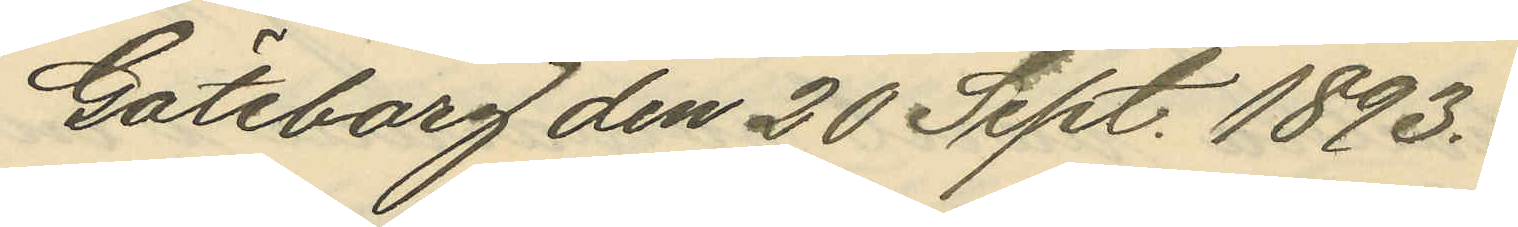Göteborg den 20 Sept. 1893.
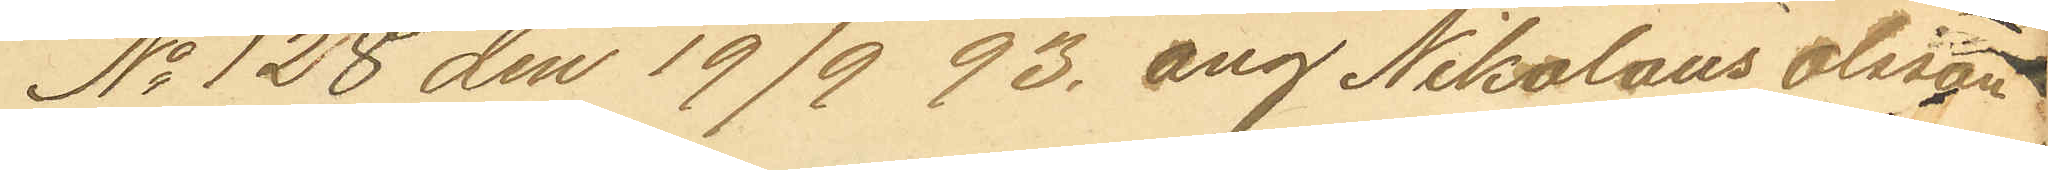No 128 den 19/9 93. ang Nikolaus Olsson
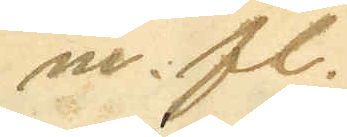m. fl.
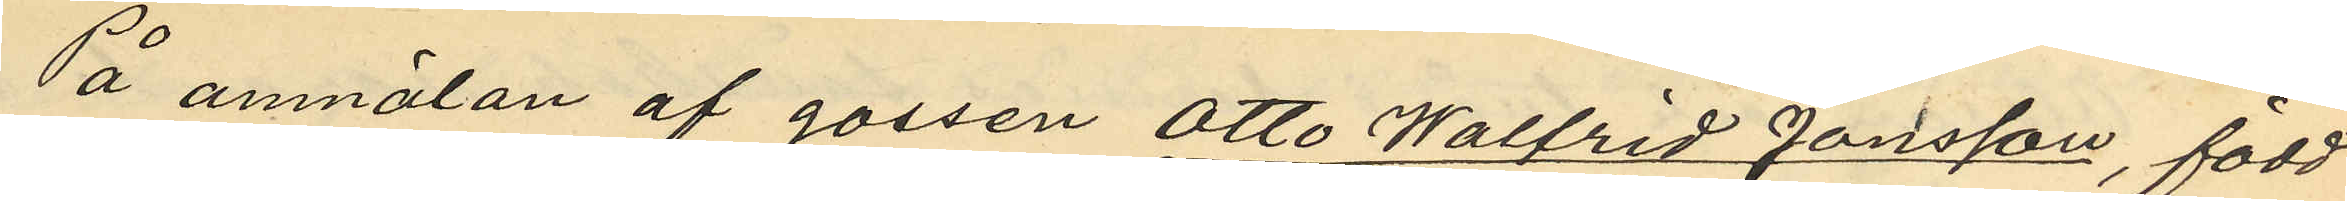På anmälan af gossen Otto Walfrid Jonsson, född
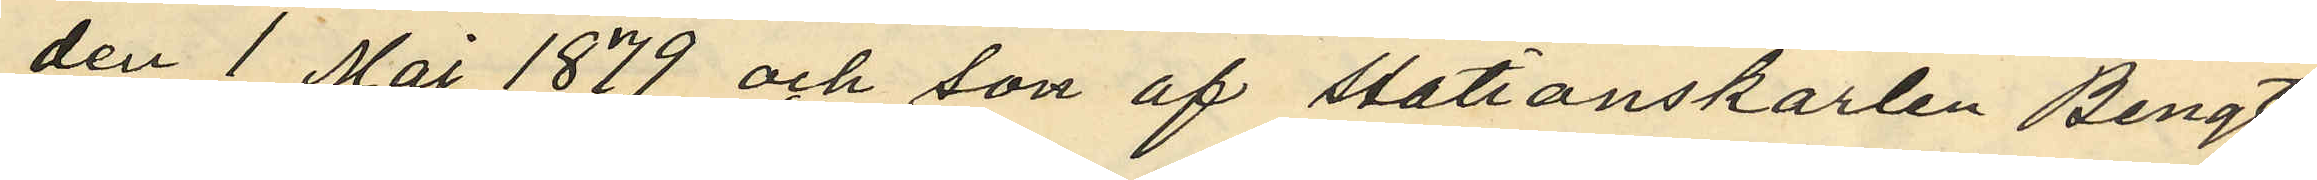den 1 Maj 1879 och son af stationskarlen Bengt
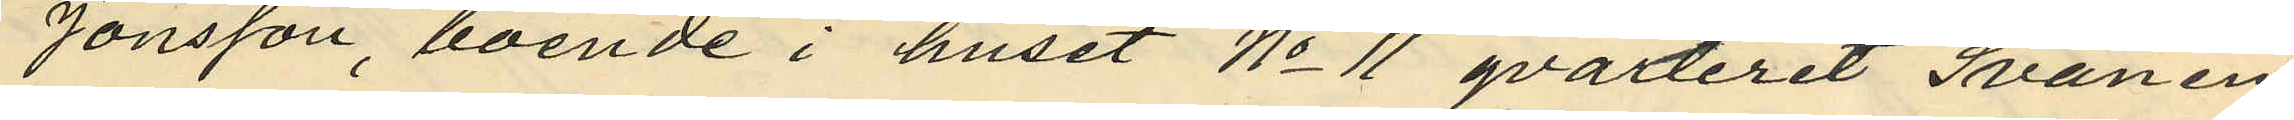Jonsson, boende i huset No 11 qvarteret Svanen
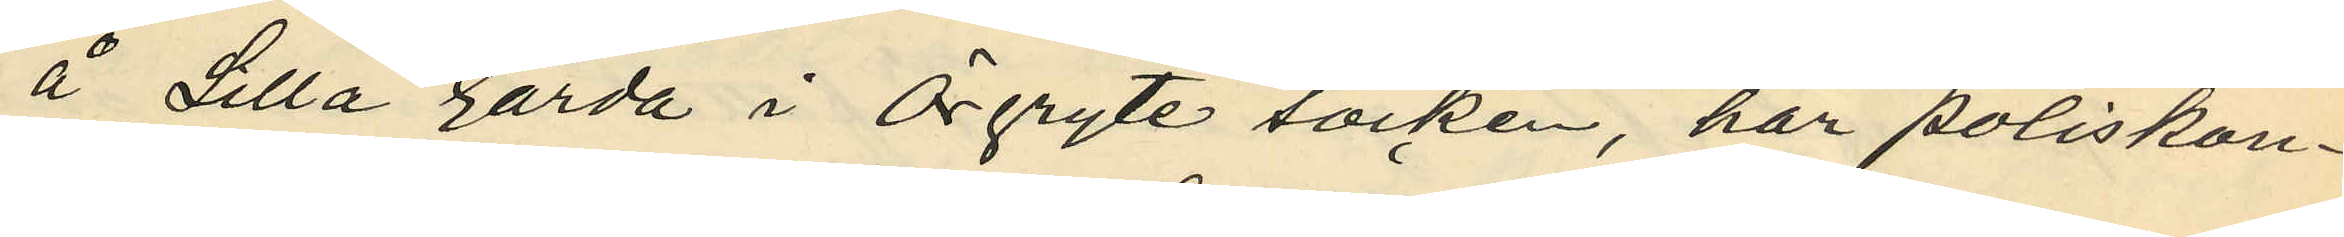å Lilla Gårda i Örgryte socken, har poliskon¬
